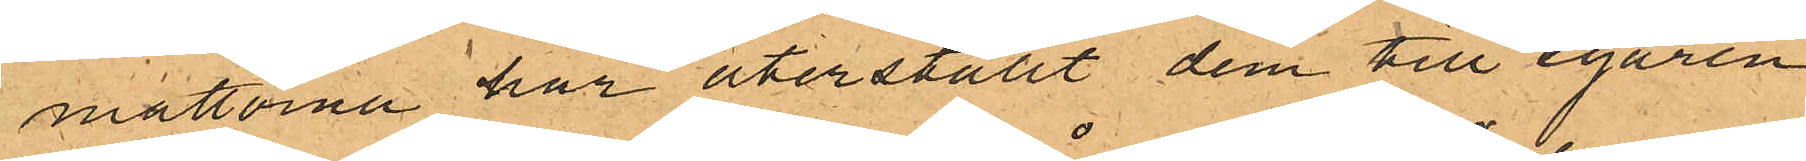mattorna har återställt dem till egaren.
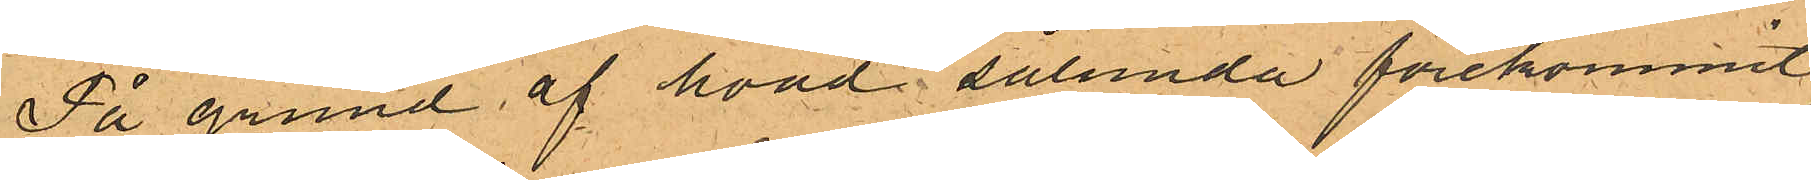På grund af hvad sålunda förekommit,
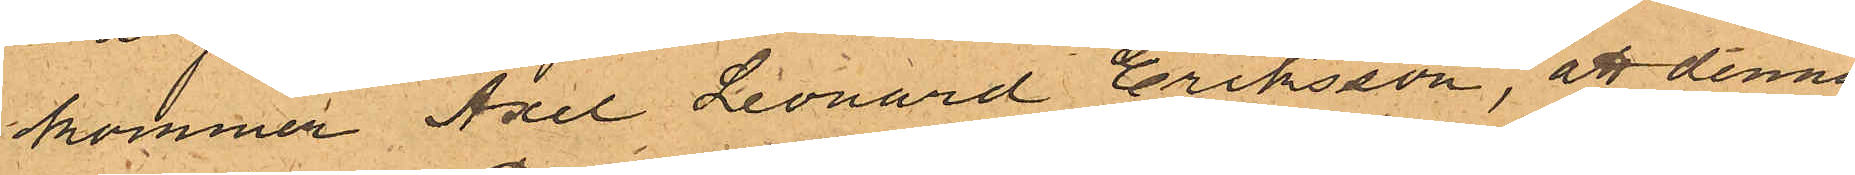kommer Axel Leonard Eriksson, att denna
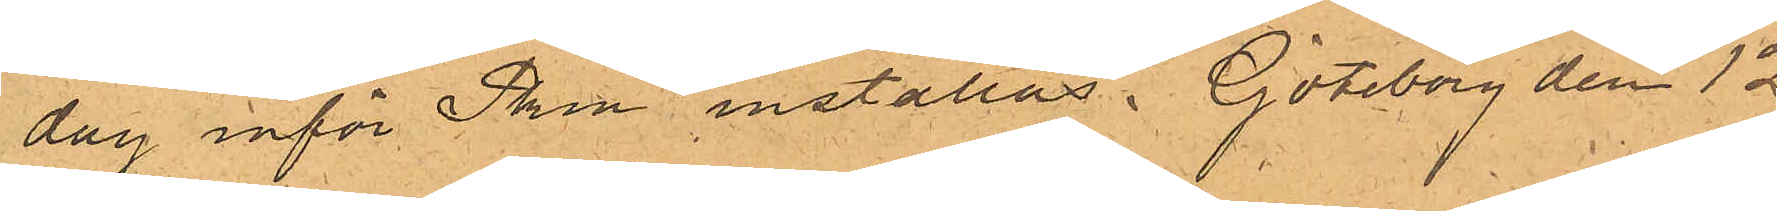dag inför Pken inställas. Göteborg den 12
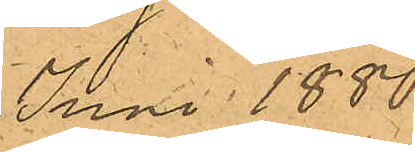Juni 1880.
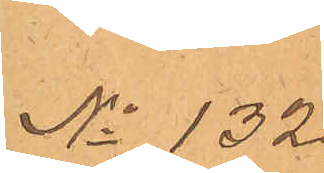No 132.
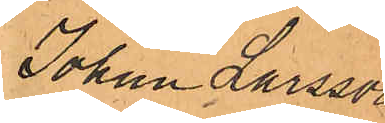Johan Larsson
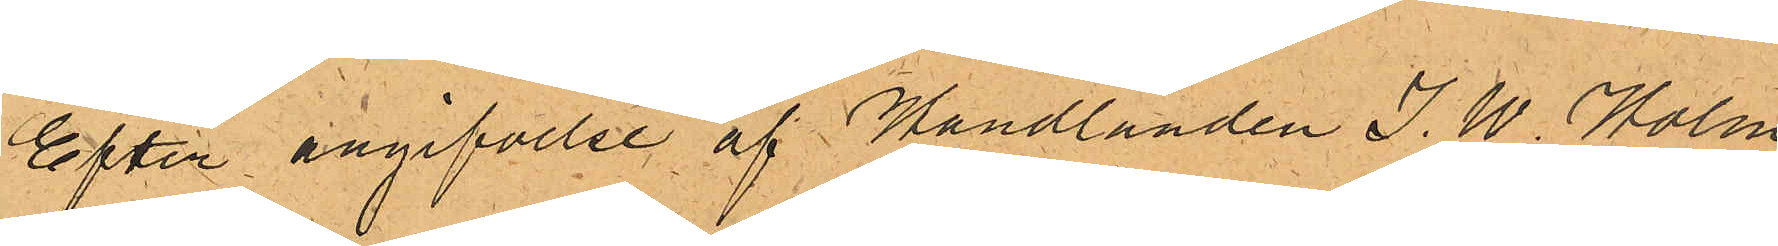Efter angifvelse af Handlanden J. W. Holm,
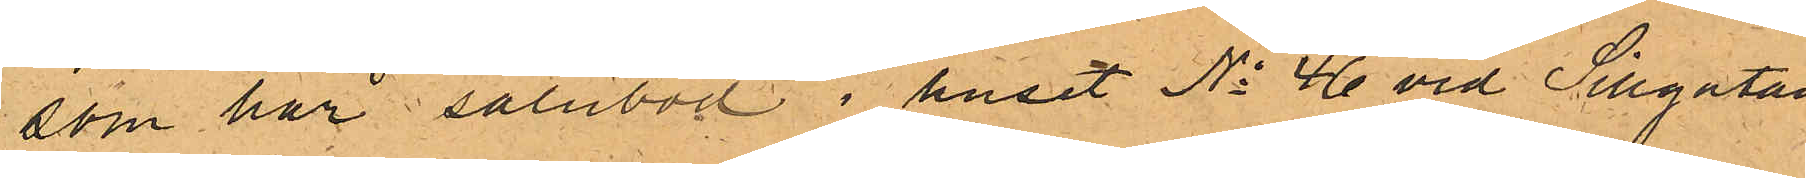som har salubod i huset No 46 vid Sillgatan
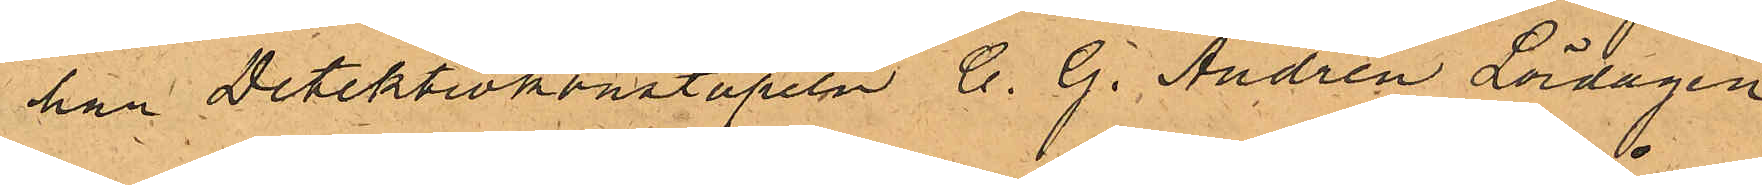han Detektivkonstapeln C. G. Andrén Lördagen
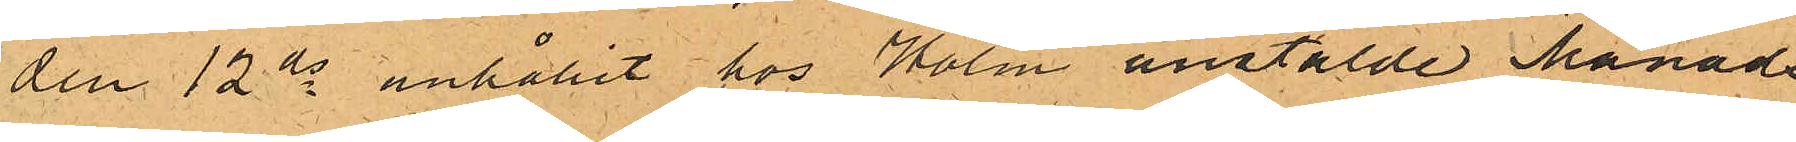den 12 ds anhållit hos Holm anstälde Månads¬
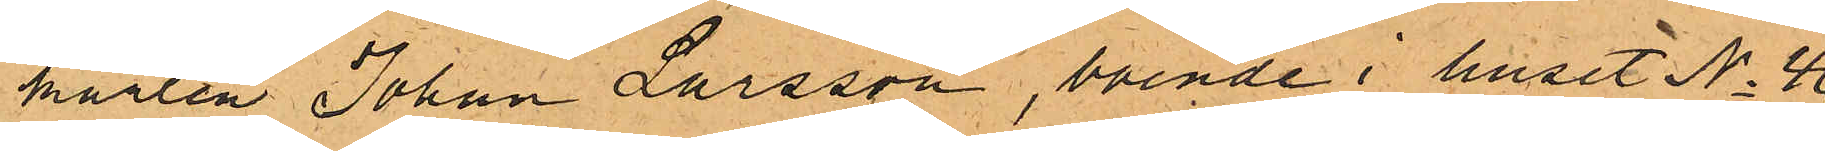karlen Johan Larsson, boende i huset No 46
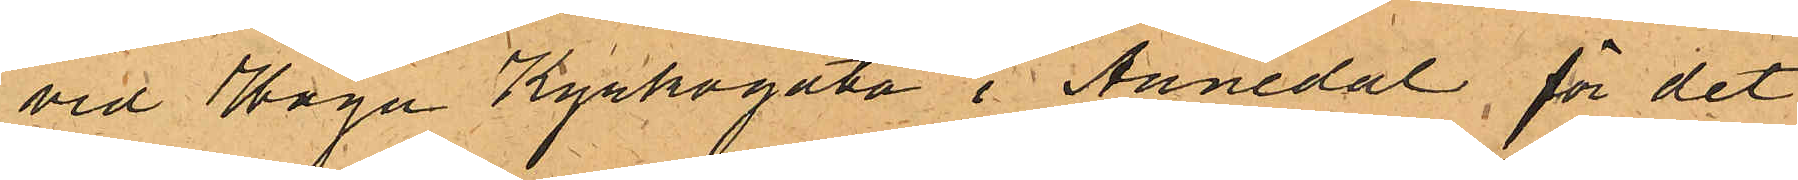vid Haga Kyrkogata i Annedal för det
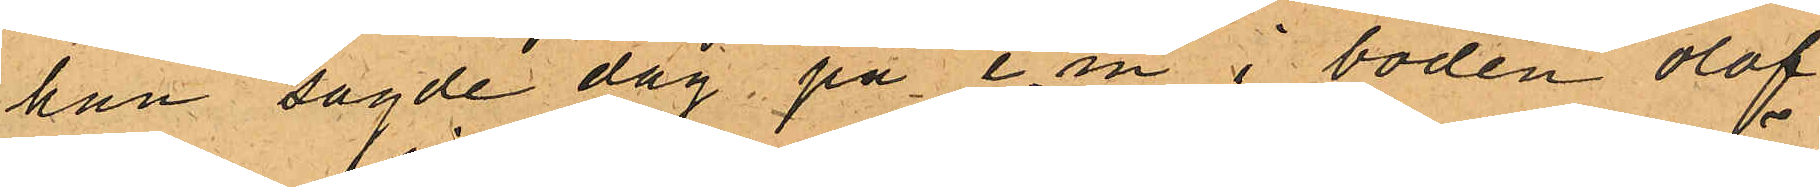han sagde dag, på e.m i boden olof¬
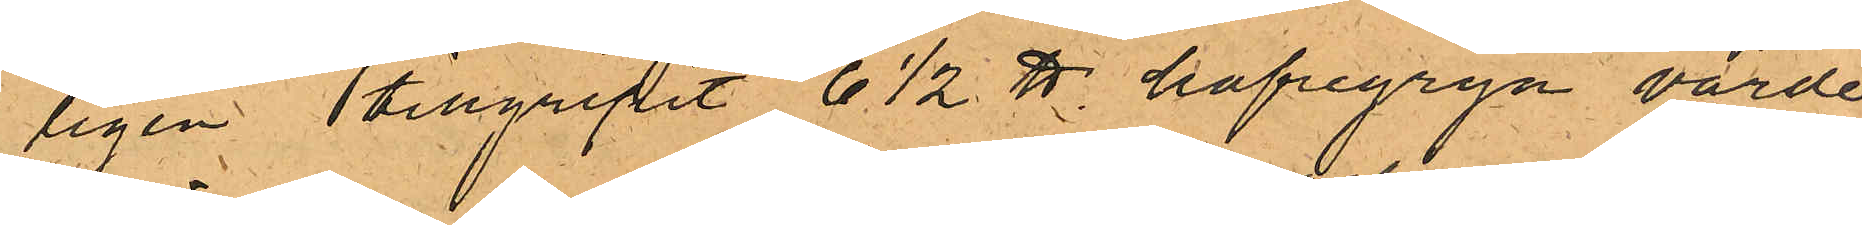ligen ttillgripit 6 1/2 ℔ hafvegryn värde
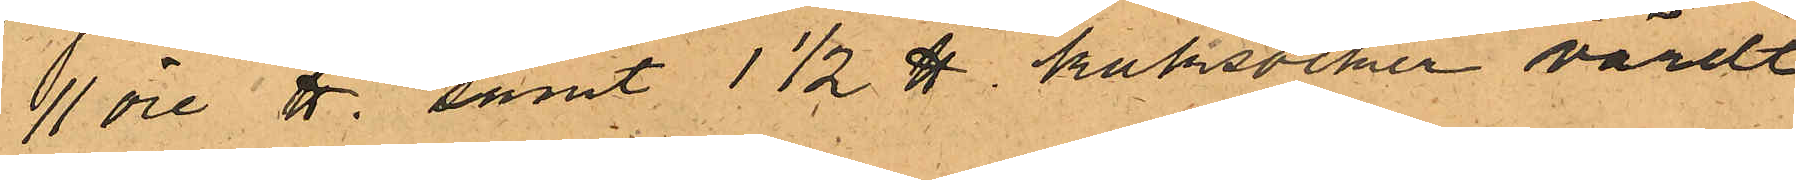11 öre ℔, samt 1 1/2 ℔ kaksocker värdt
